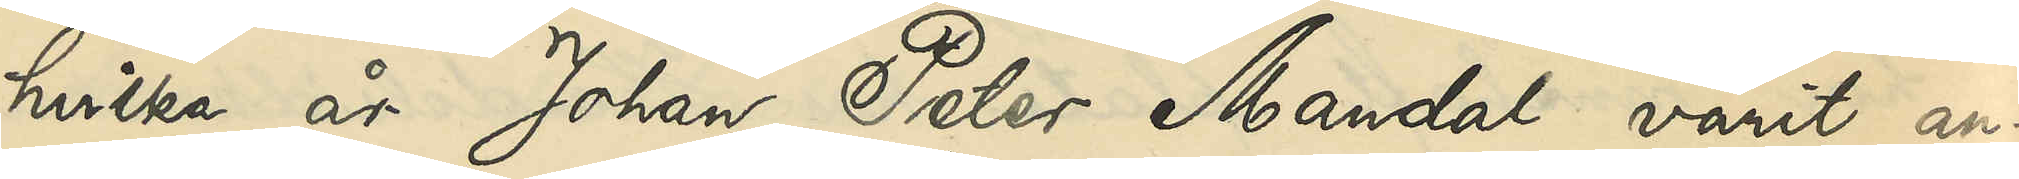hvilka år Johan Peter Mandal varit an¬
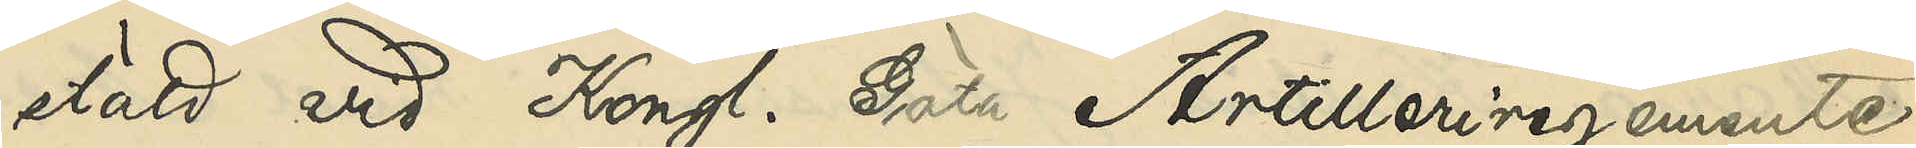stäld vid Kongl. Göta Artilleriregemente,
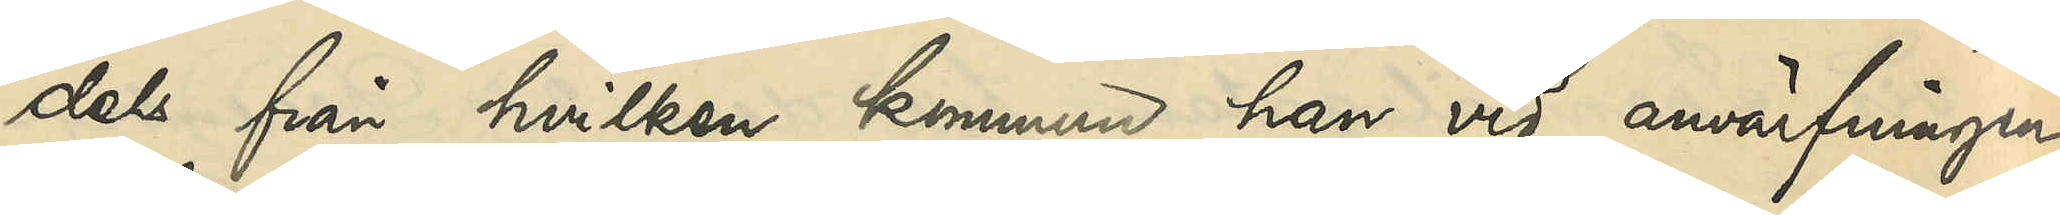dels från hvilken kommun han vid anvärfningen
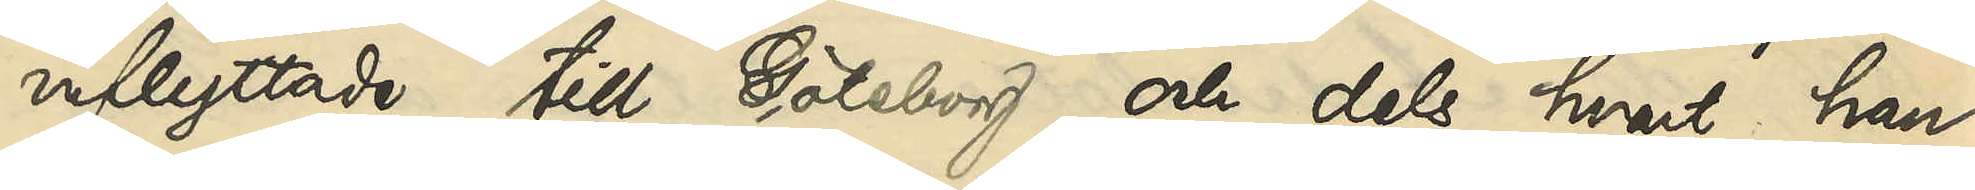inflyttade till Göteborg och dels hvart han
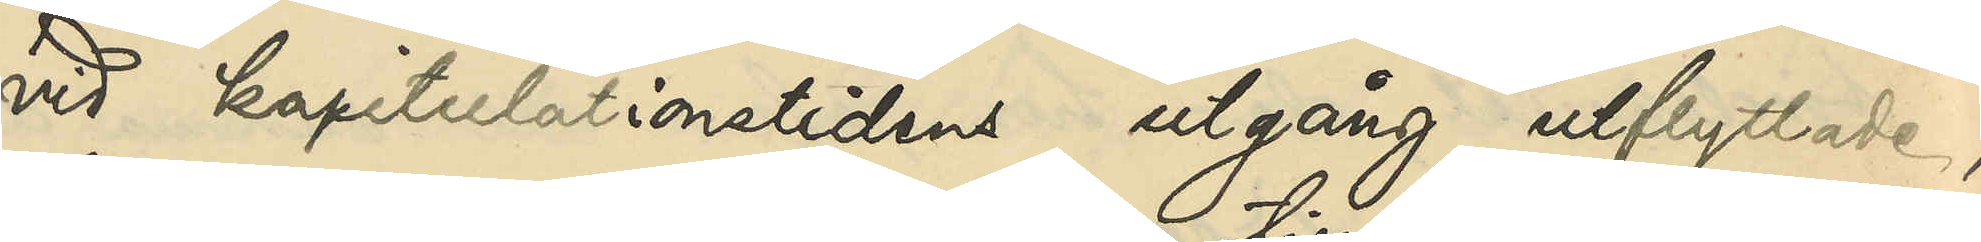vid kapitulationstidens utgång utflyttade,
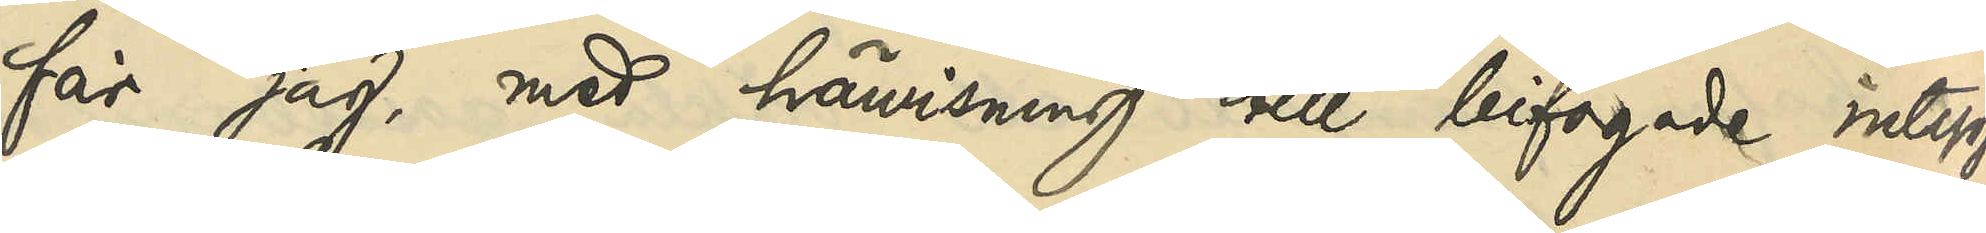får jag, med hänvisning till bifogade intyg
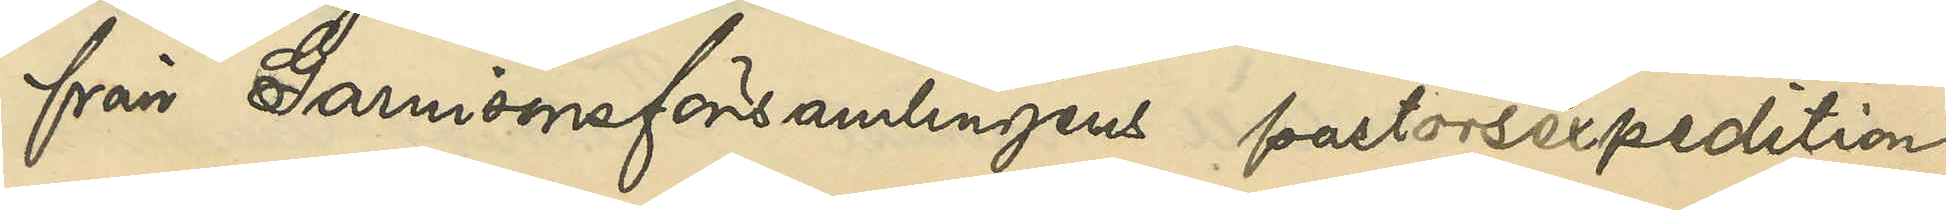från Garnisonsförsamlingens pastorsexpedition
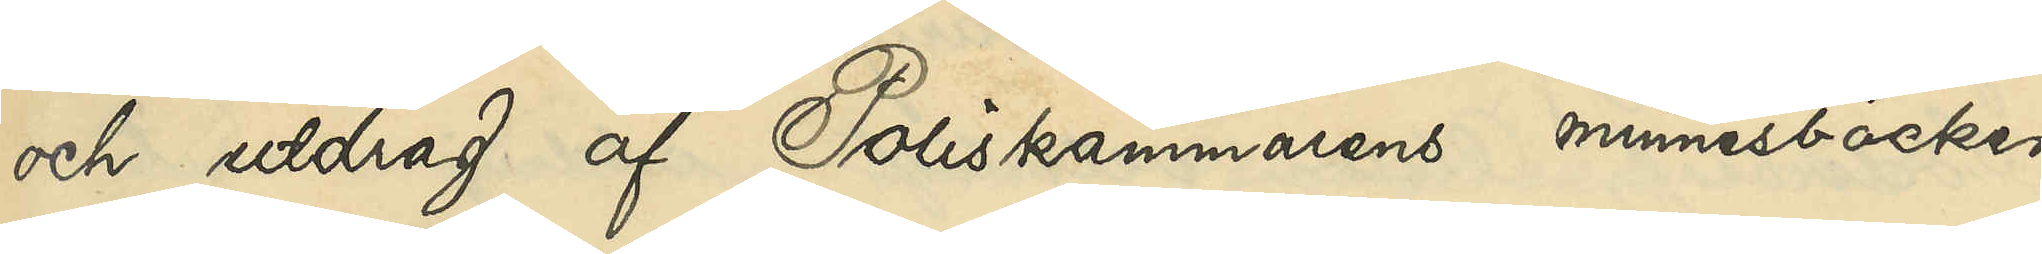och utdrag af Poliskammarens minnesböcker
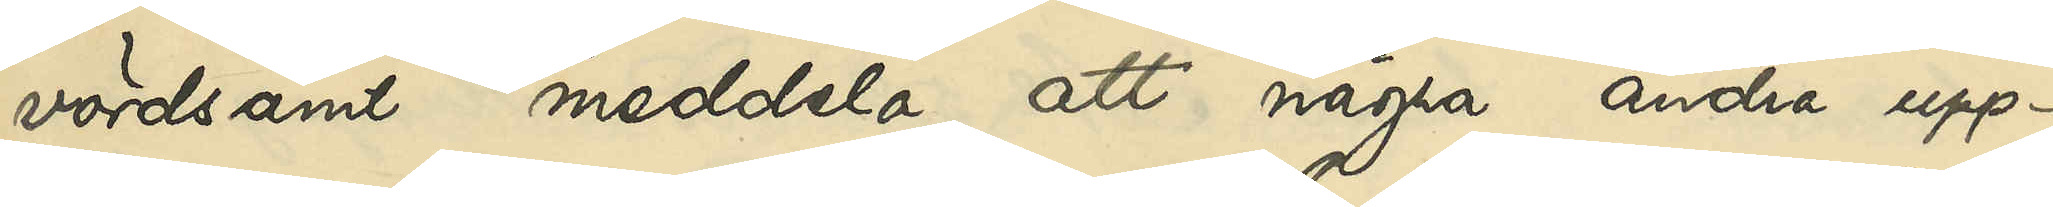vördsamt meddela, att några andra upp¬
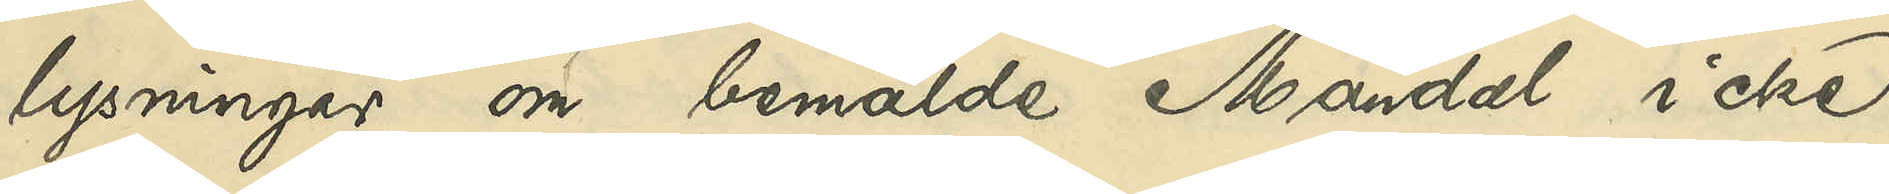lysningar om bemälde Mandel icke
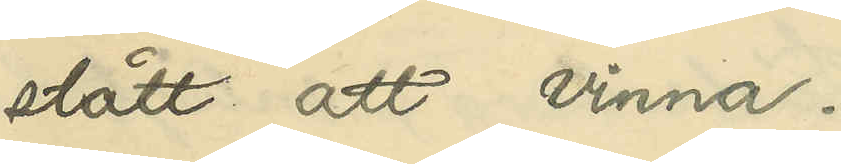stått att vinna.
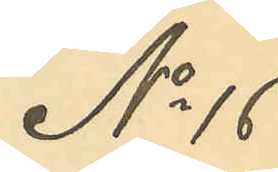No 16
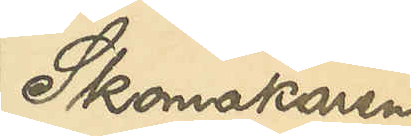Skomakaren
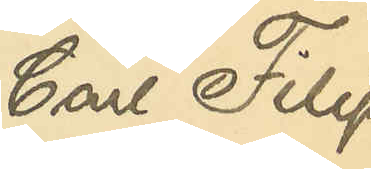Carl Filip
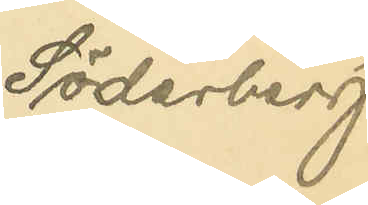Söderberg
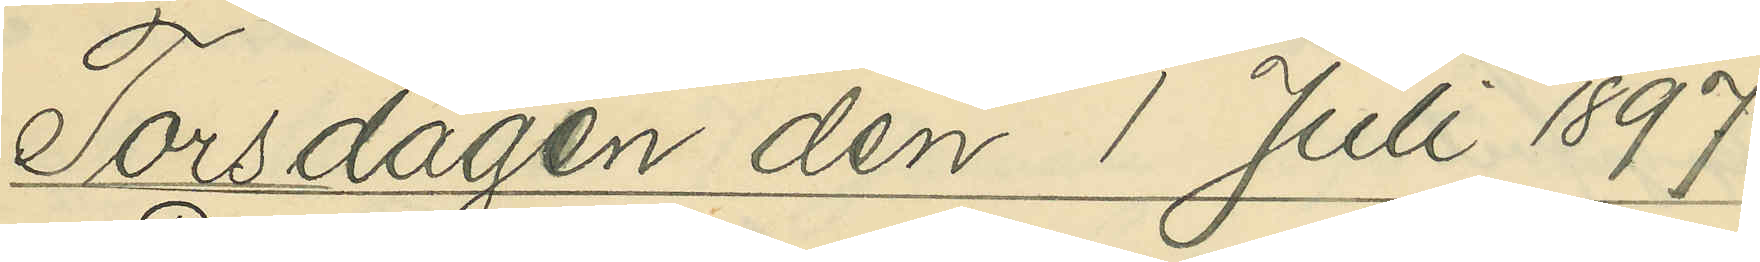Torsdagen den 1 Juli 1897.
